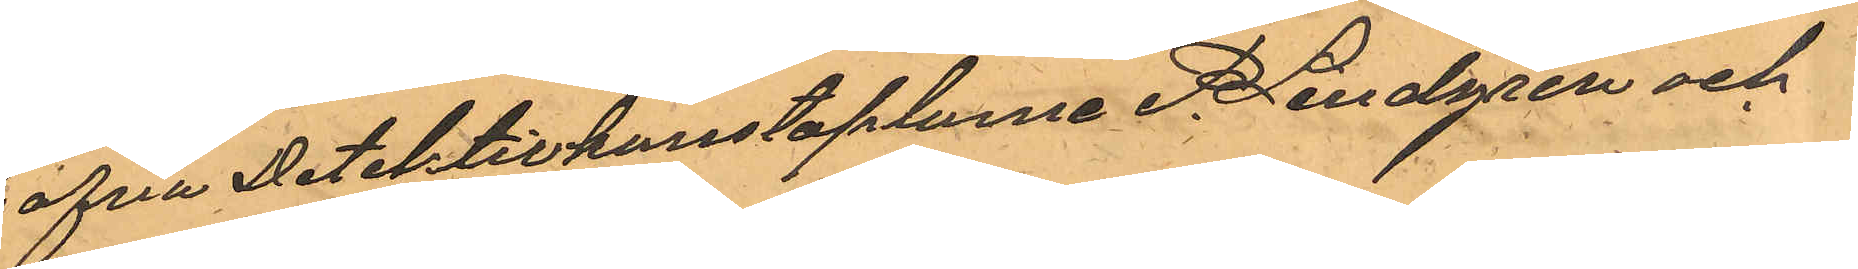hafva Detektivkonstaplarna P.Lindgren och
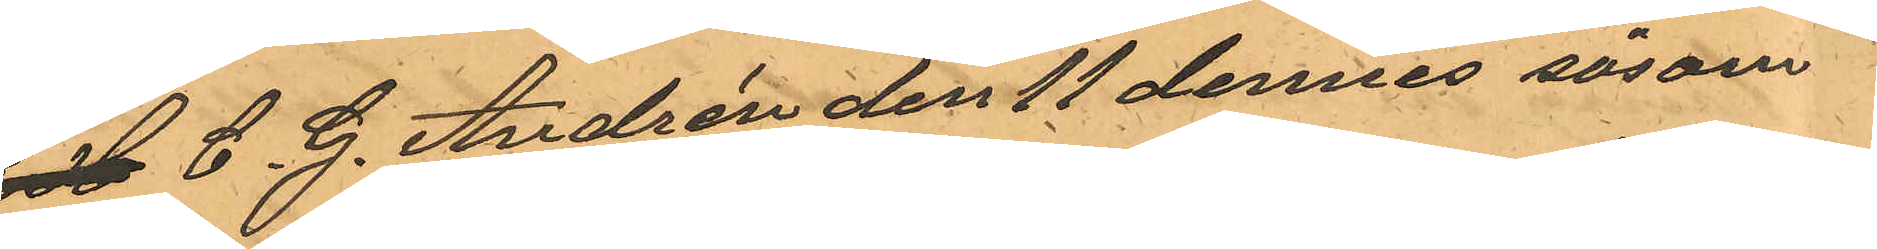E H C. G. Andrén den 11 dennes såsom
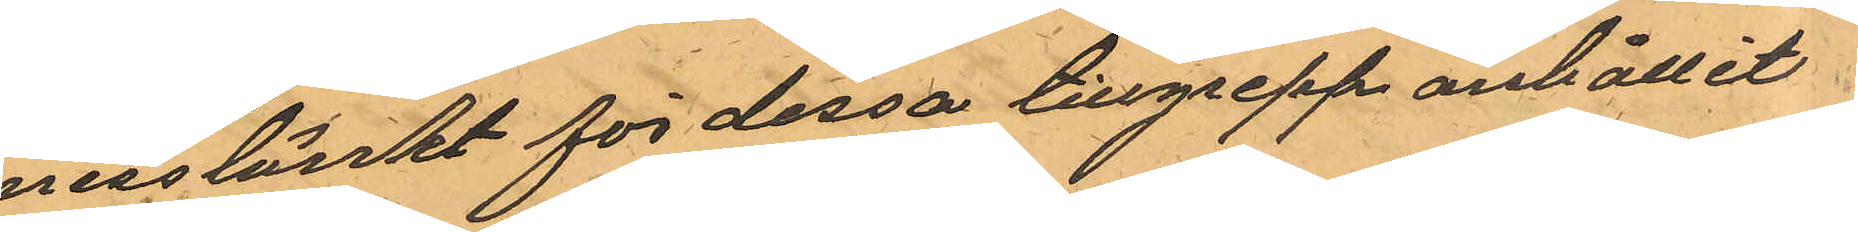misstänkt för dessa tillgrepp anhållit
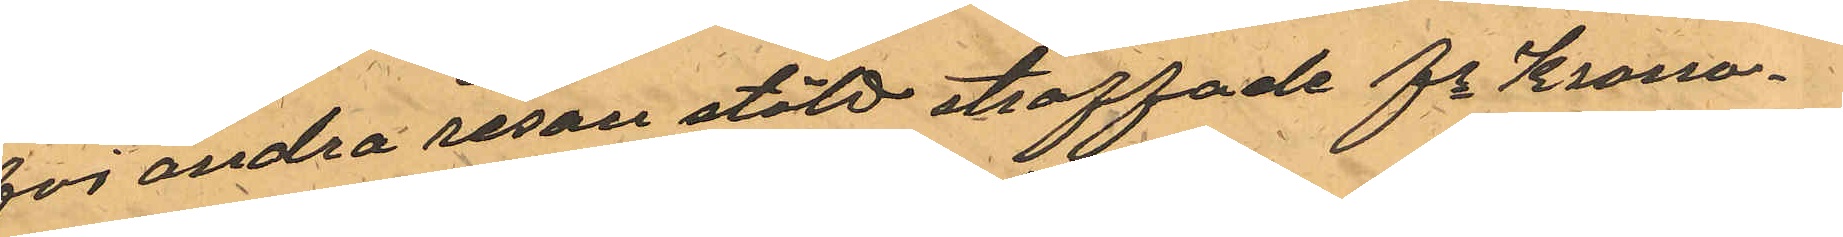för andra resan stöld straffade fe Krono¬
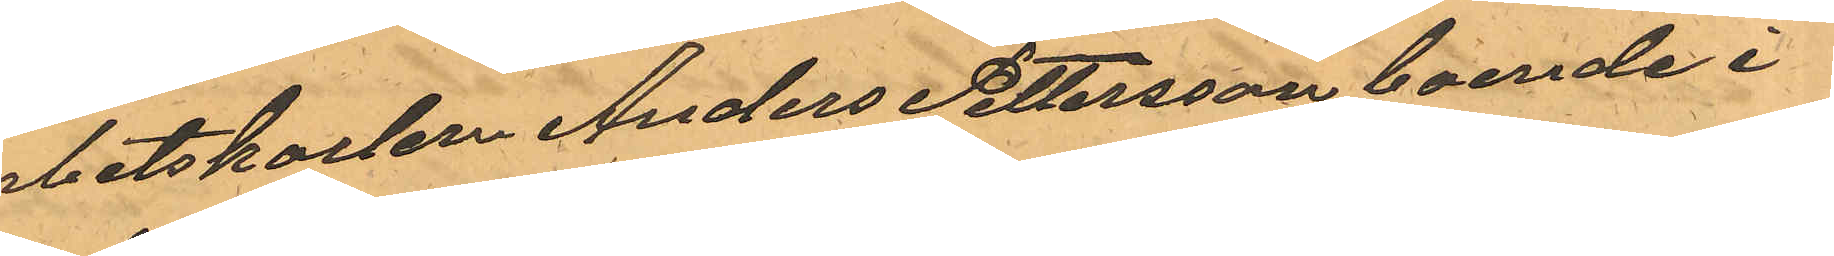arbetskarlen Anders Pettersson boende i
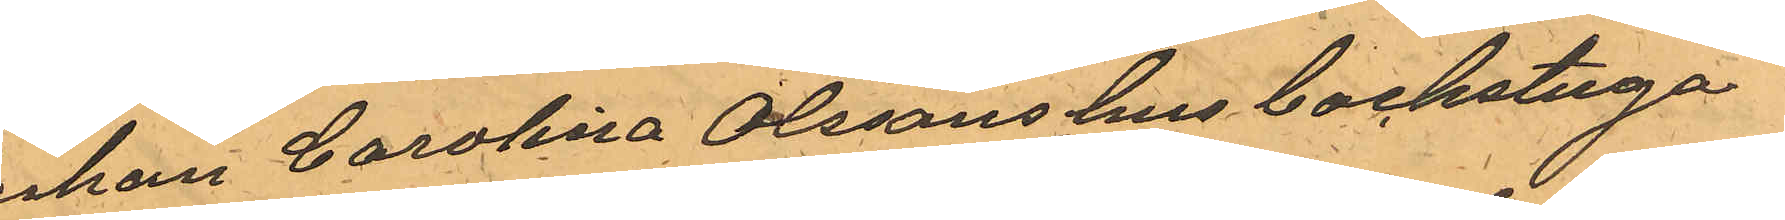Enkan Carolina Olssons hus backstuga
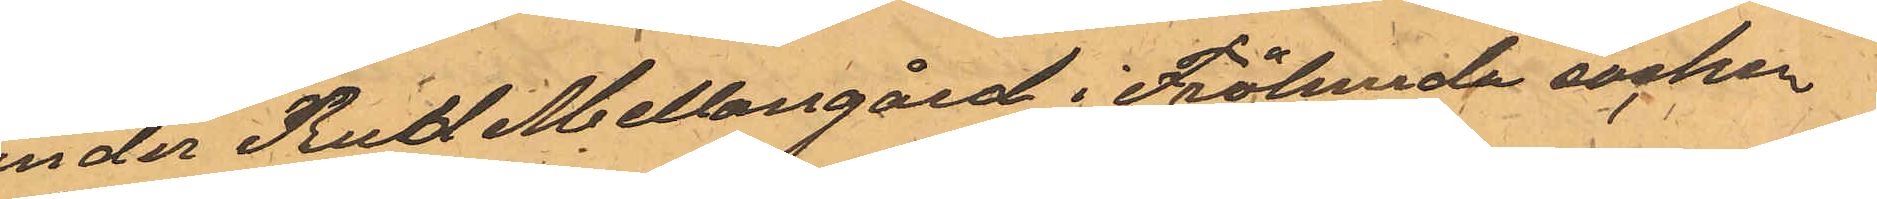under Rud Mellangård i Frölunda socken
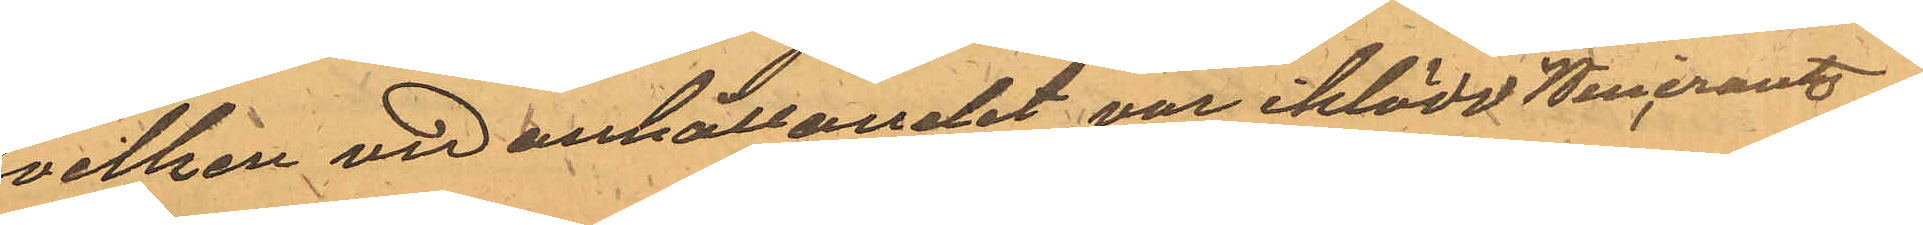hvilken vid anhållandet var iklädd Wincrantz
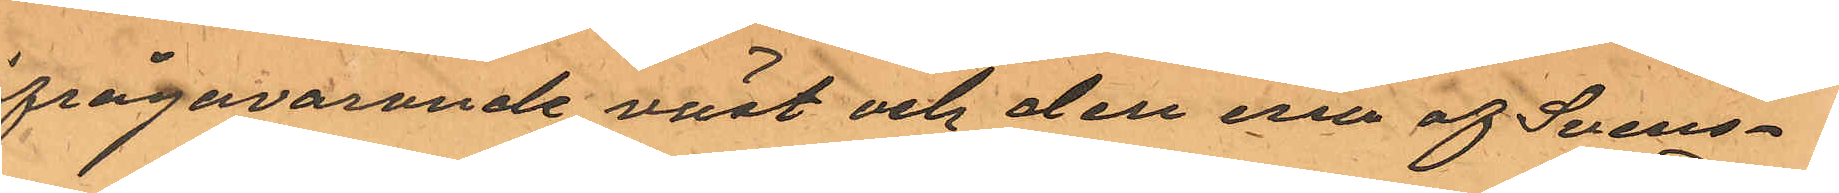ifrågavarande väst och den ena af Svens¬
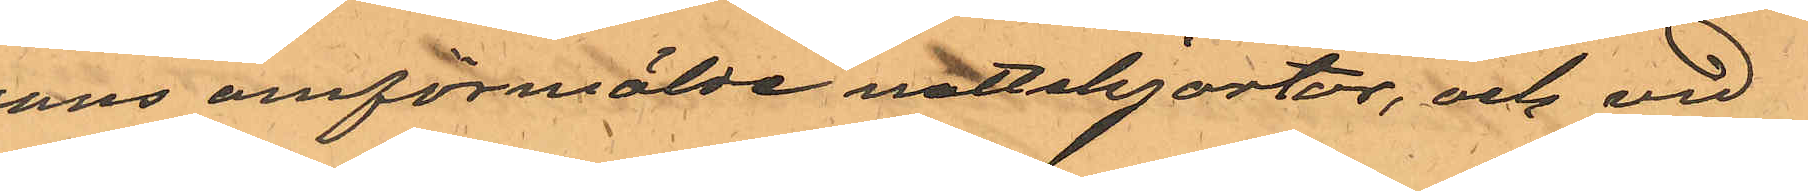sons omförmälde nattskjortor, och vid
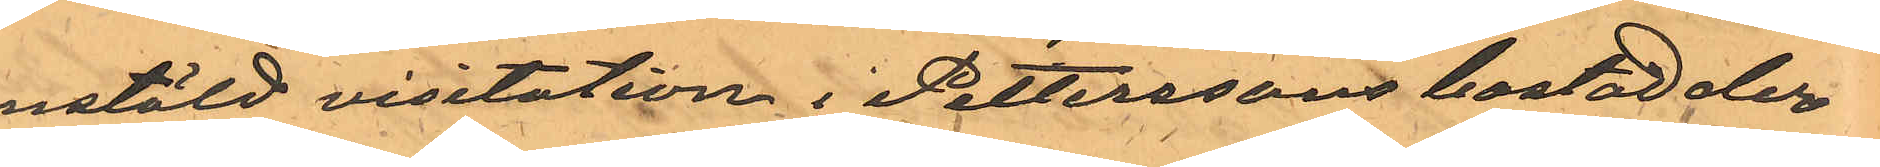anstäld visitation i Petterssons bostad der
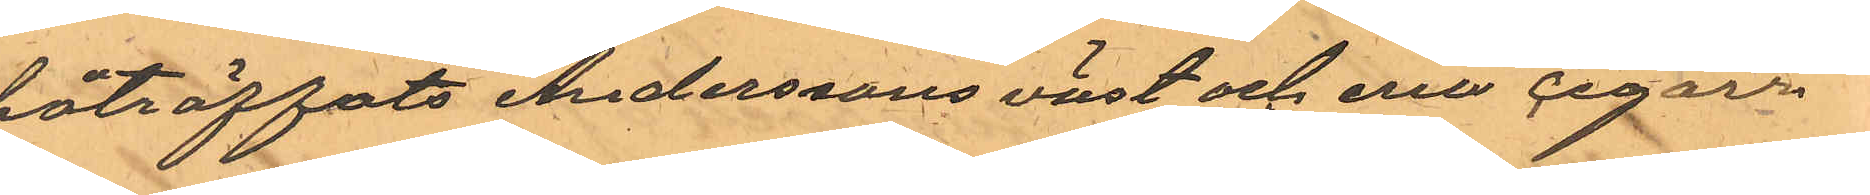påträffats Anderssons väst och ena cigarr¬
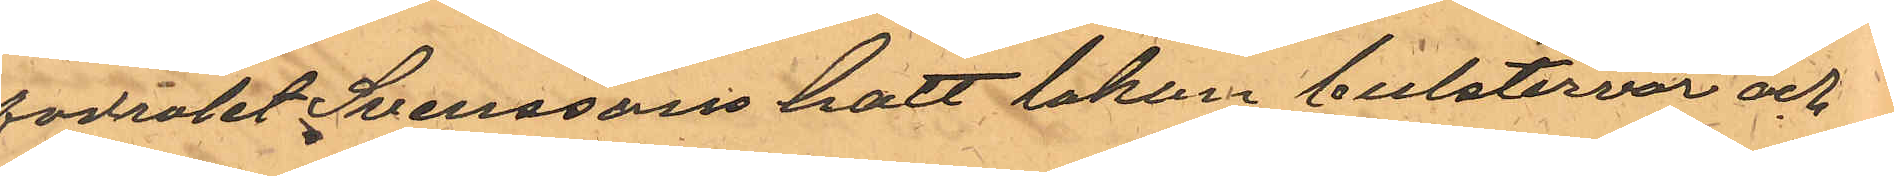fodralet, Svenssons hatt lakan bulstervar och
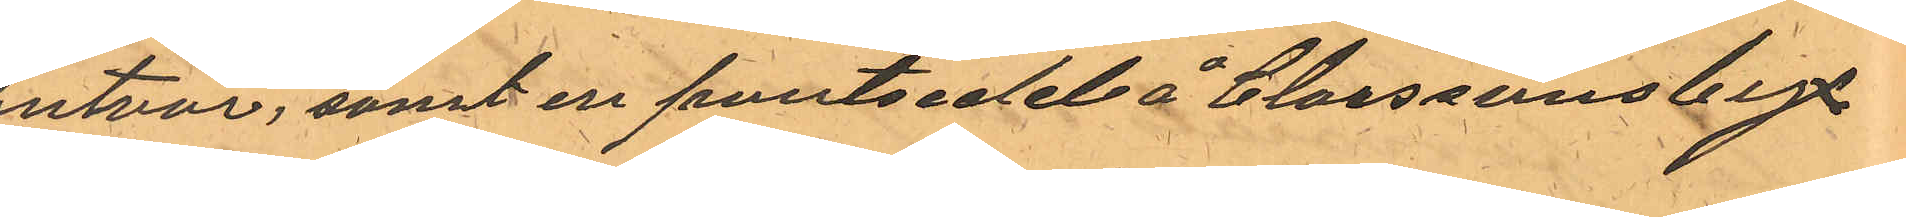putvar, samt en pantsedel å Claessons byx¬
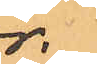or.
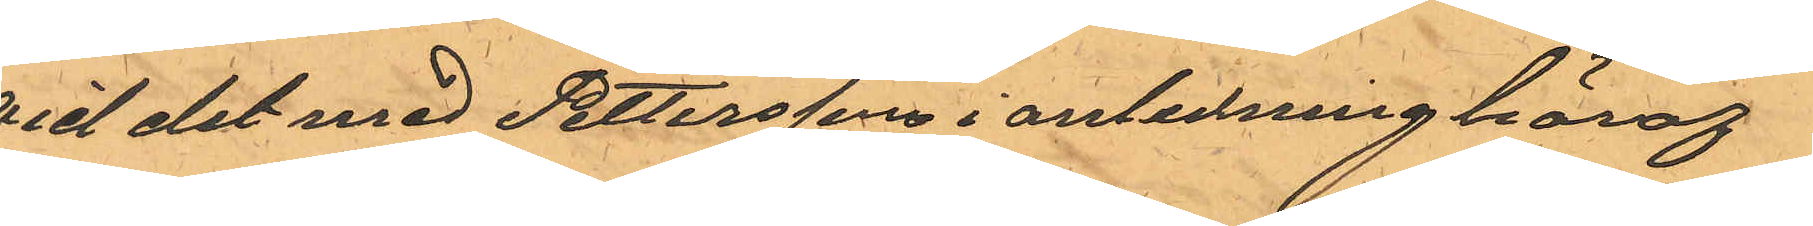Vid det med Pettersson i anledning häraf
